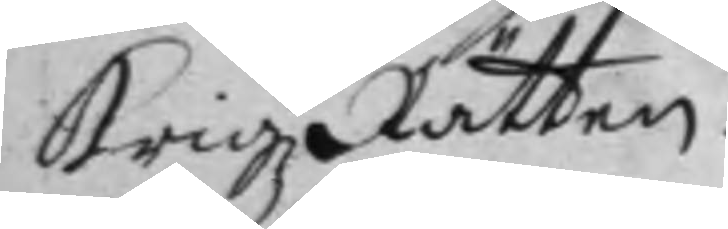KrigzRätten.
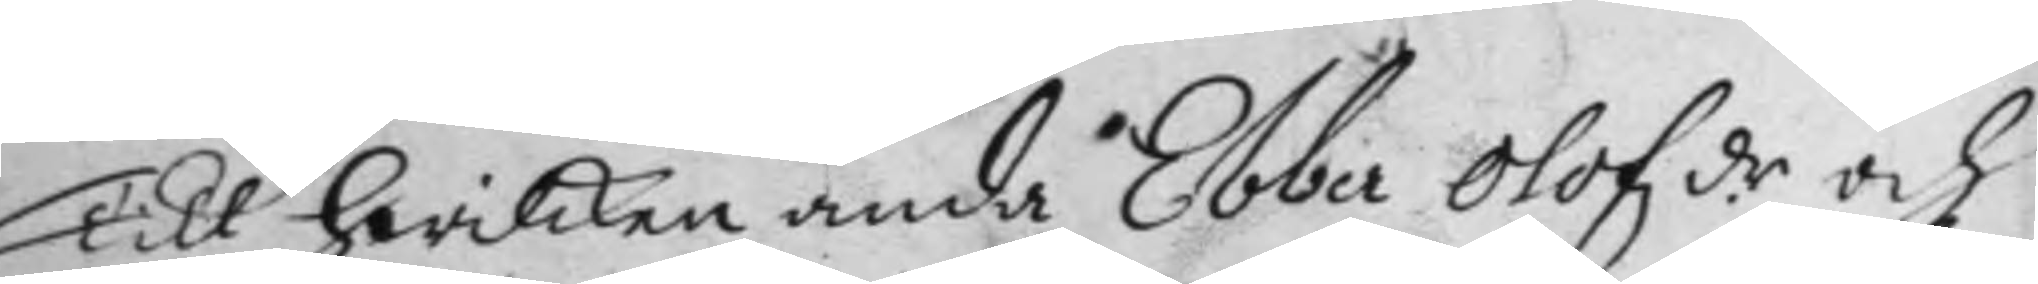Till hwilken ända Ebber Olofzdr och 
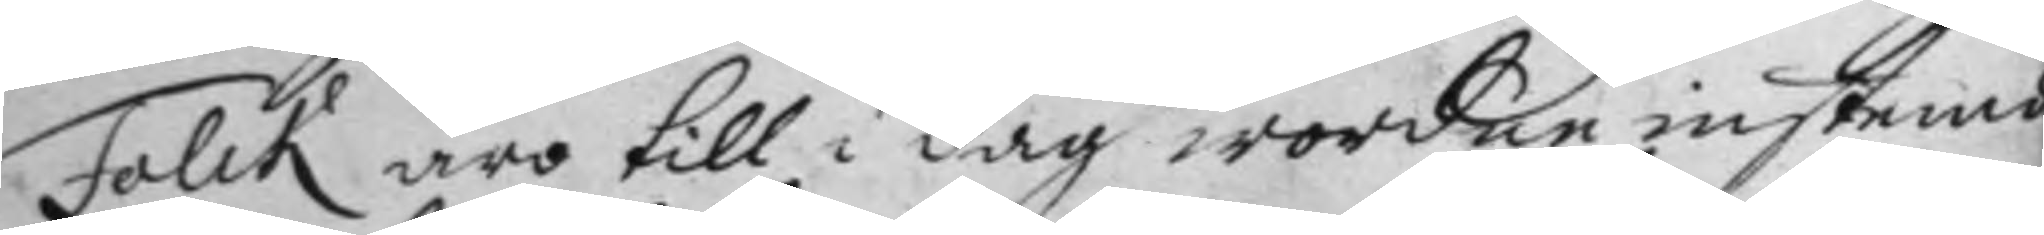Falck äro till i dag wordne instembde
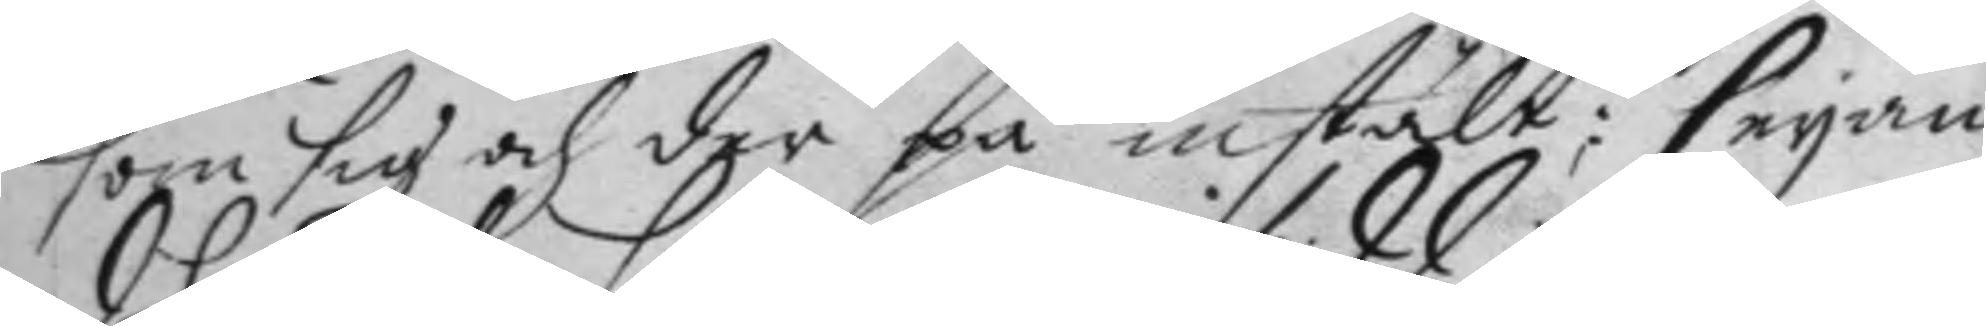som sig och der på instält; seyan¬
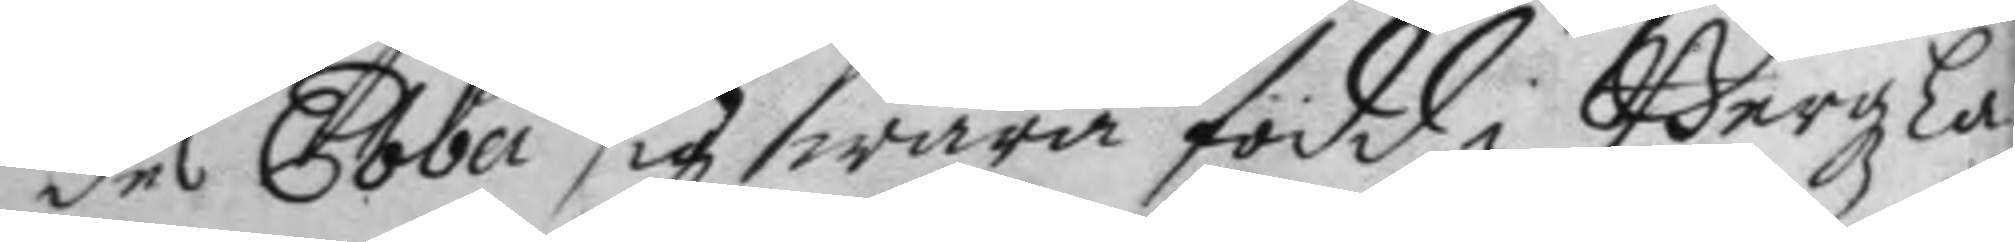des Ebba sig swara född i Bergzla¬
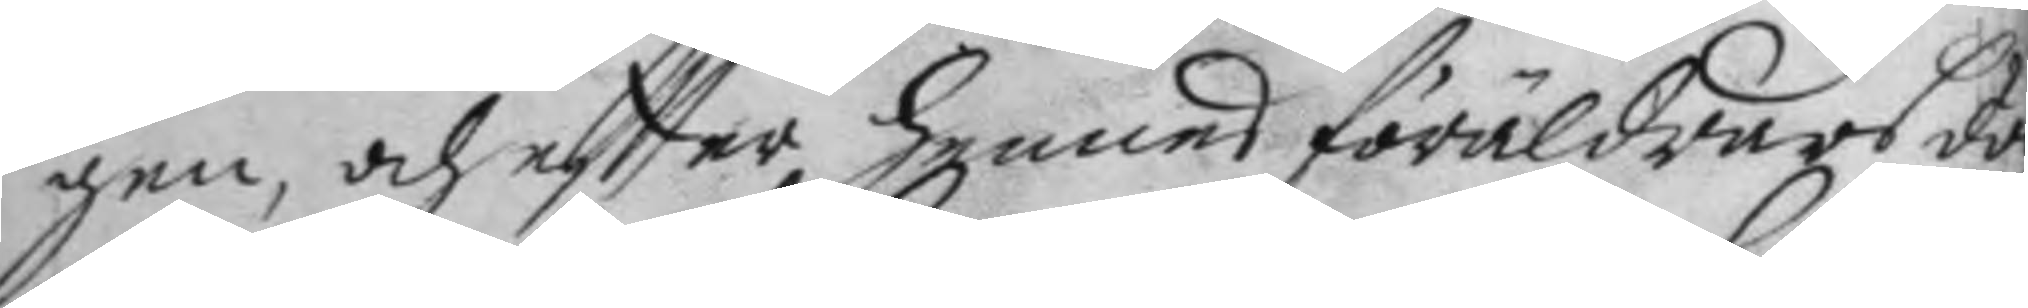gen, och eftter hennes föräldrars dö
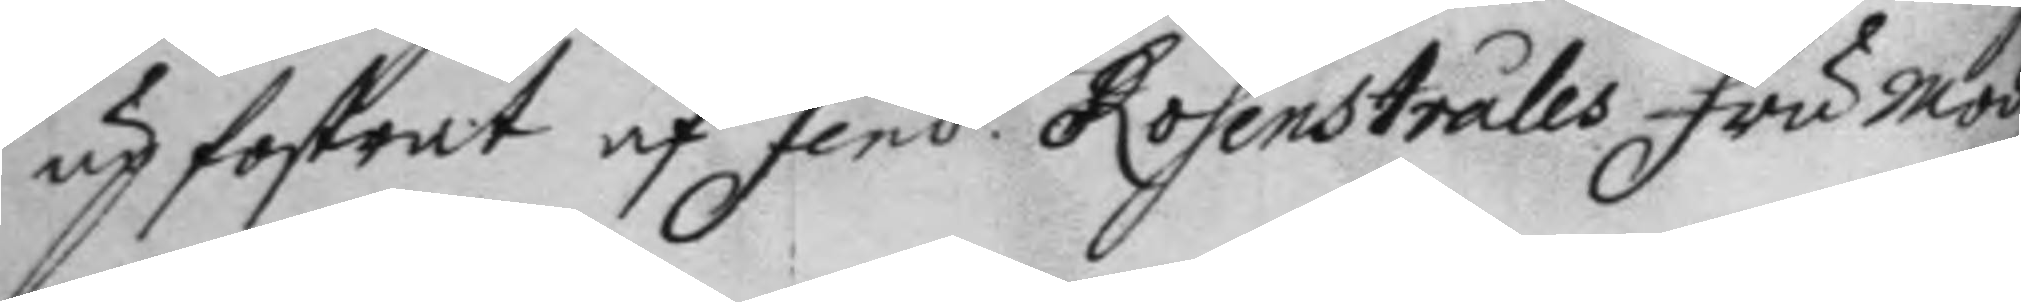up fostrat af Fend. Rosenstråles Fru Mod 
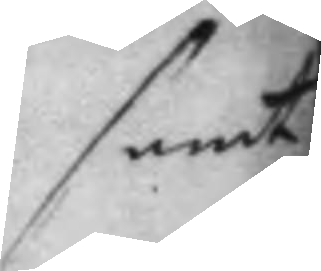samt
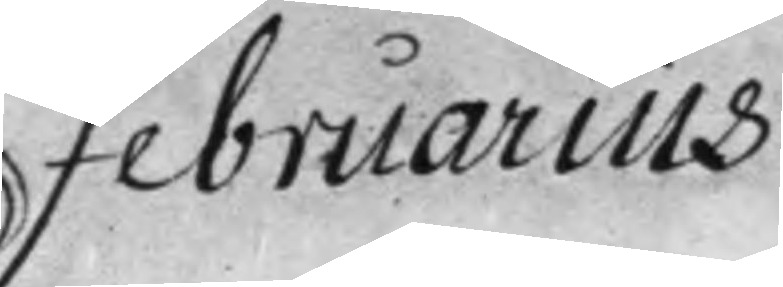Februarius.
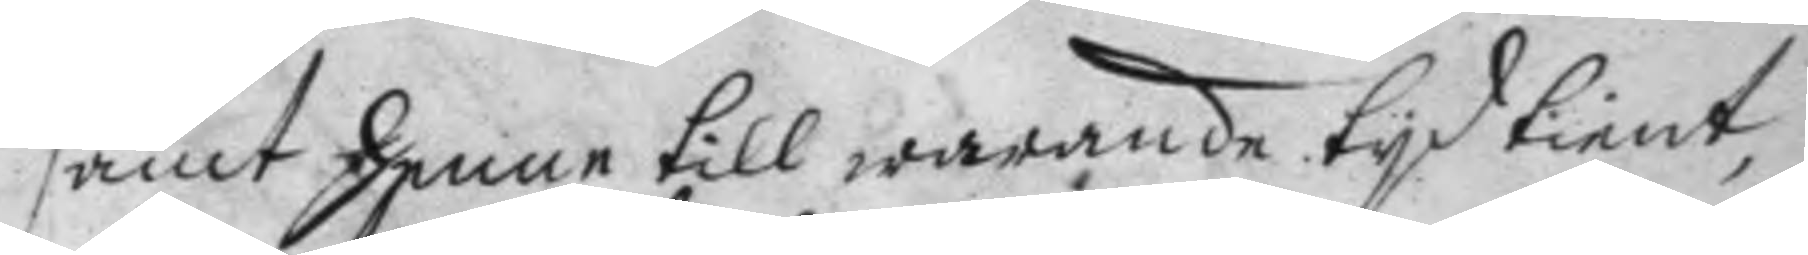samt henne till warande tyd tient,
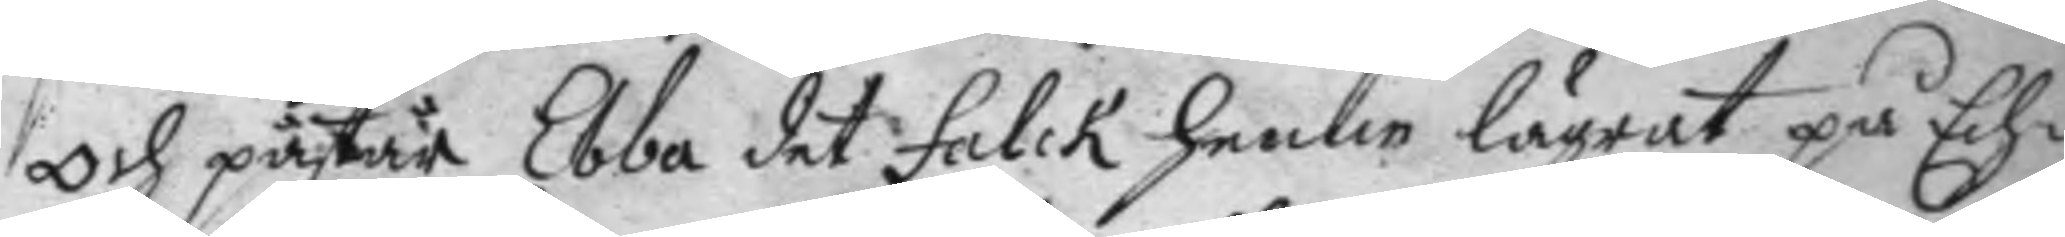Och påstår Ebba det Falck henne lägrat på Ech¬
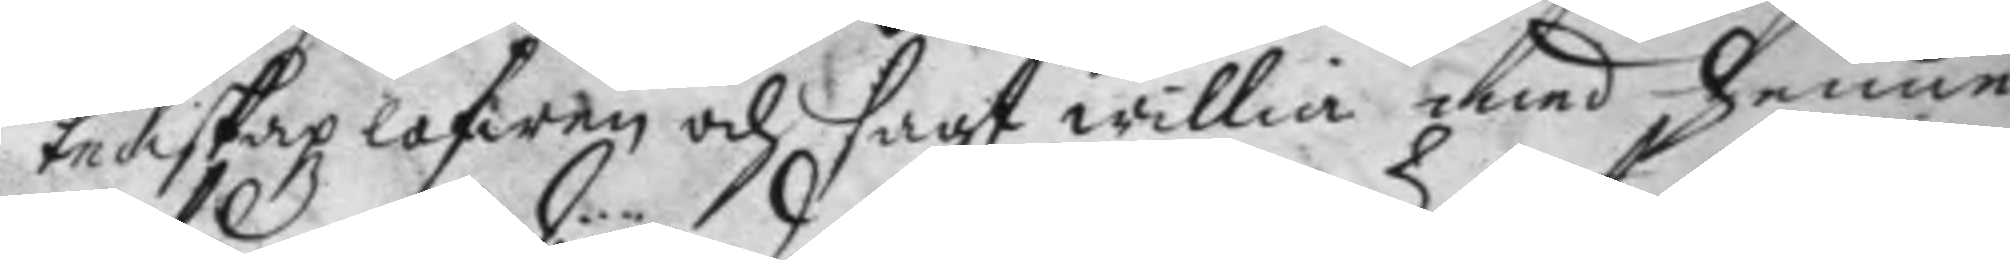tenskaplofwen och sagt willia med henne
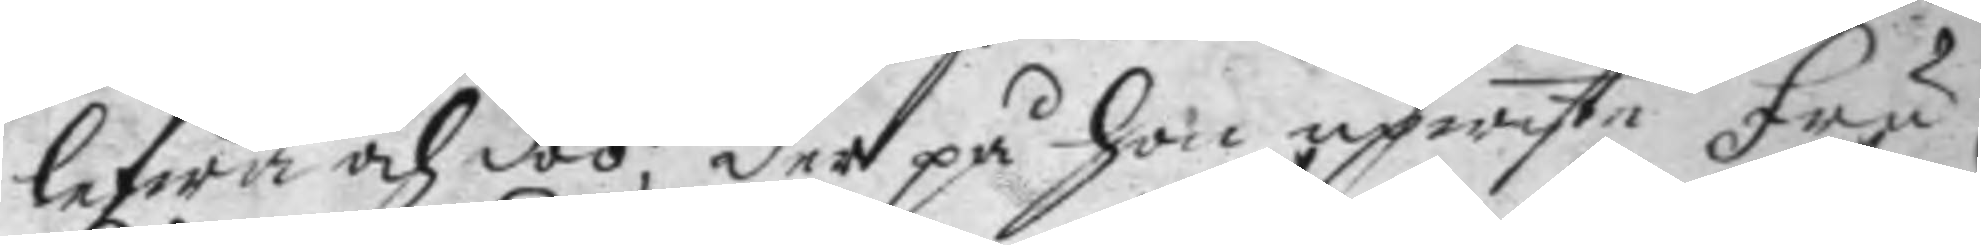lefwa och döö; der på hon upwiste fru
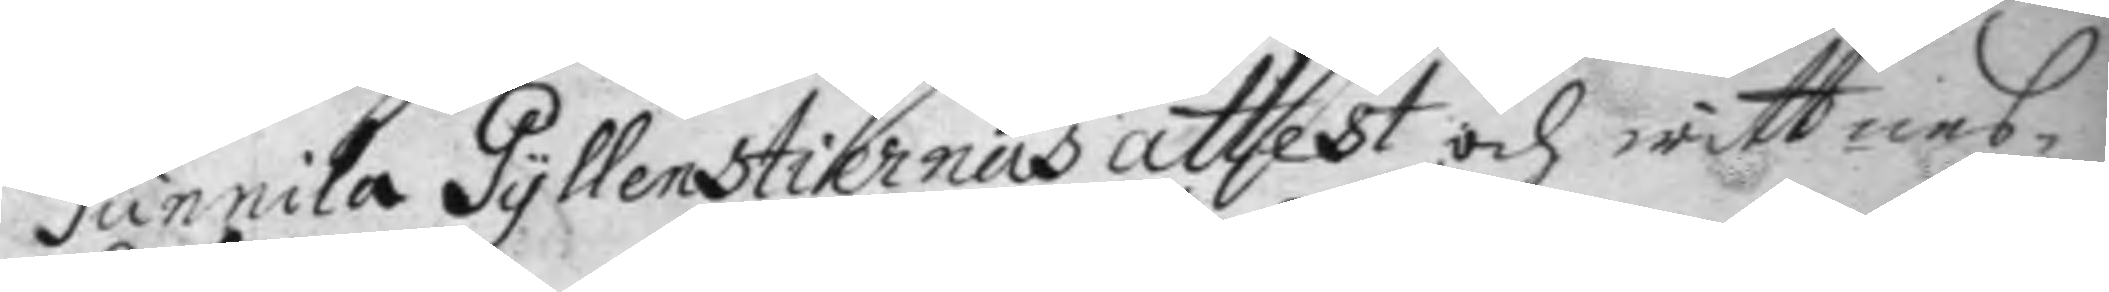Gunnila Gyllenstiernas attest och wittnes¬
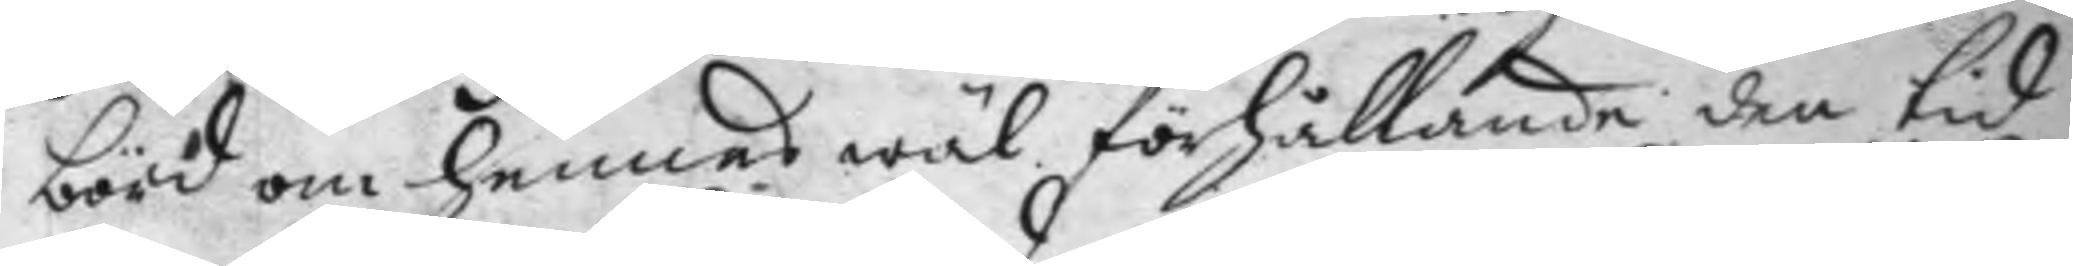börd om hennes wäl förhållande den tid
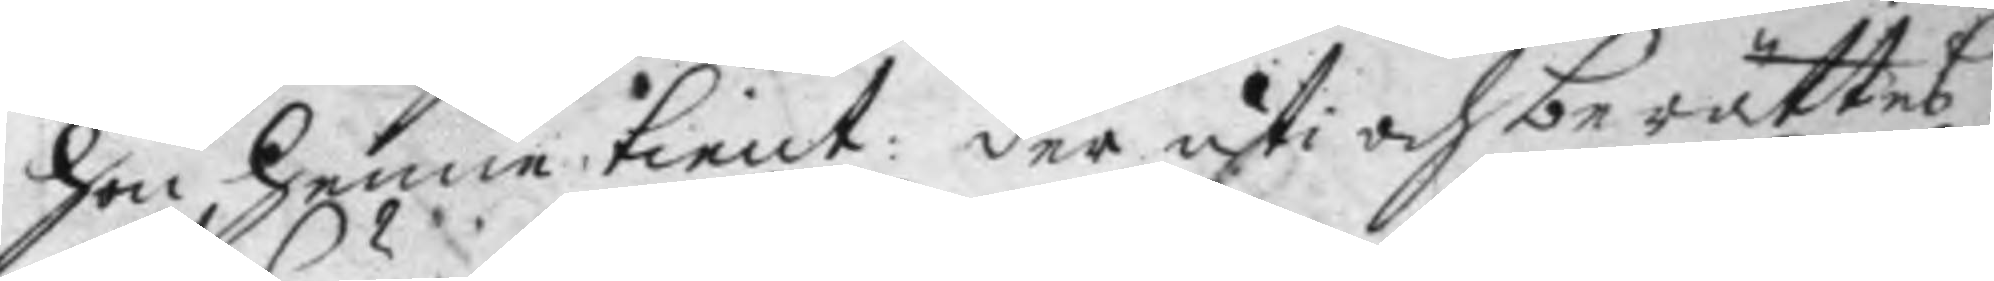hon henne tient: der uti och berättes:
